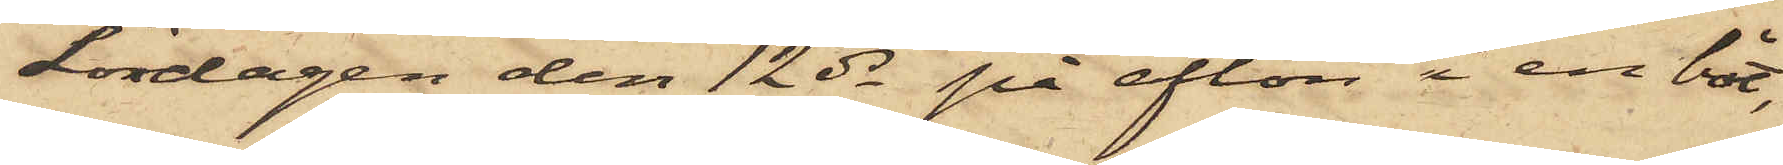Lördagen den 12 ds på afton i en båt,
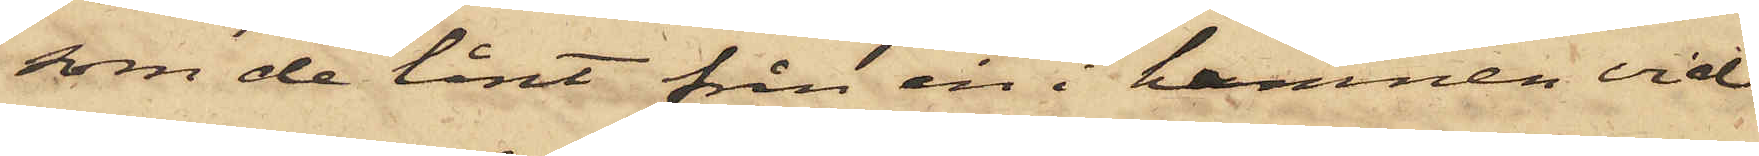som de lånt från en i hamnen vid
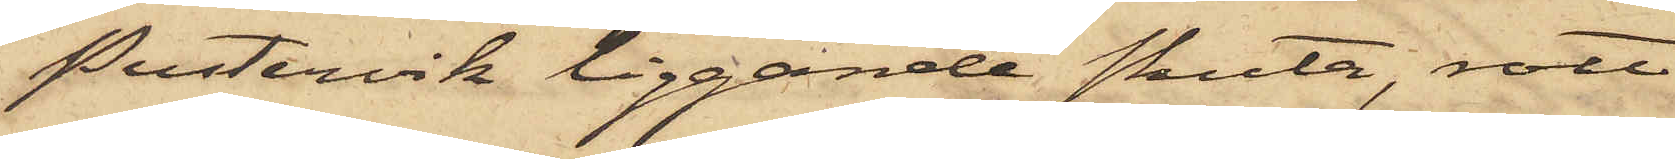Pustervik liggande skuta, rott
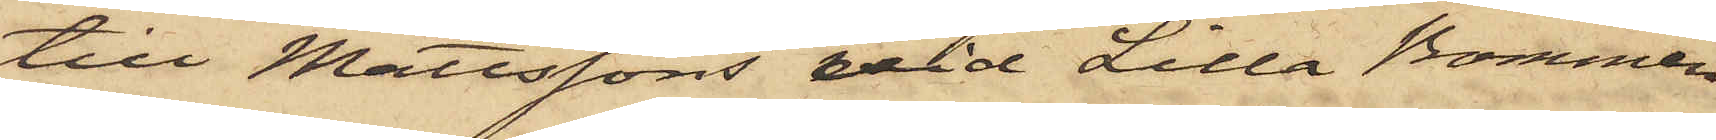till Mattssons vid Lilla Bommen
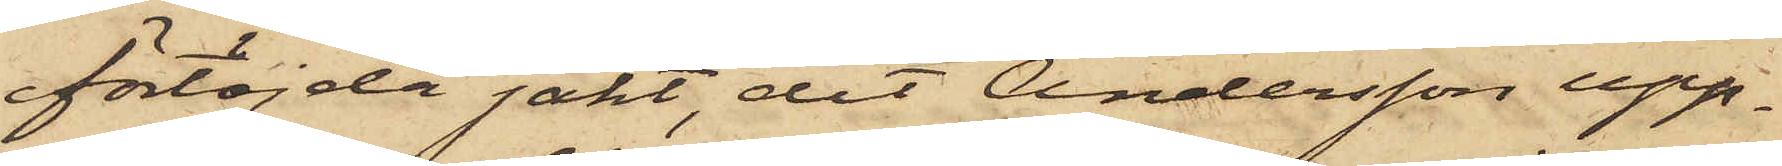förtöjda jakt, dit Andersson upp¬
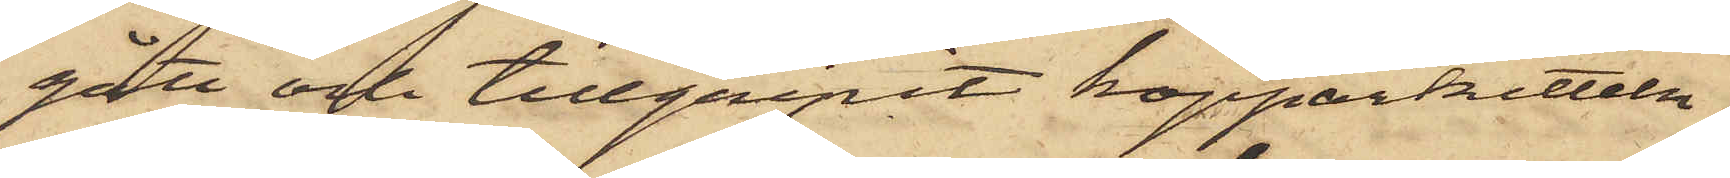gått och tillgripit kopparkitteln,
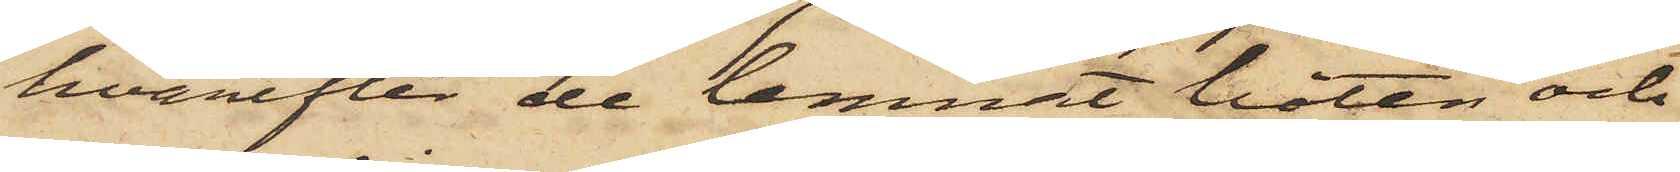hvarefter de lemnat båten och
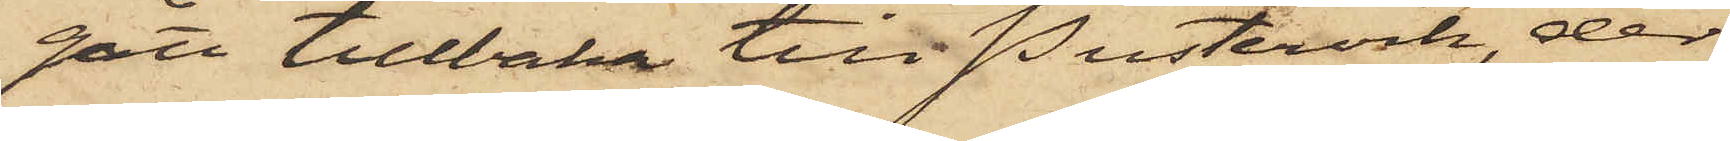gått tillbaka till Pustervik, der
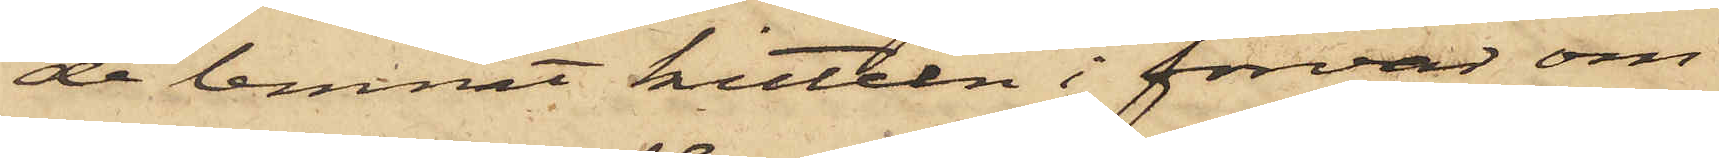de lemnat kitteln i förvar om¬
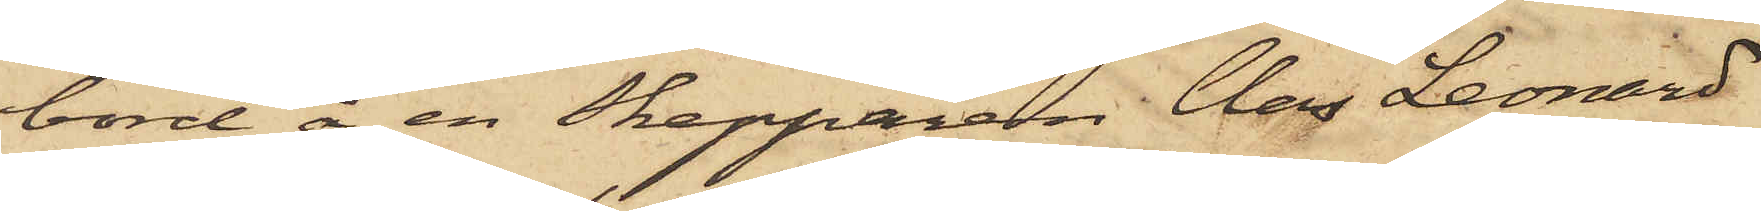bord å en Skepparen Clas Leonard
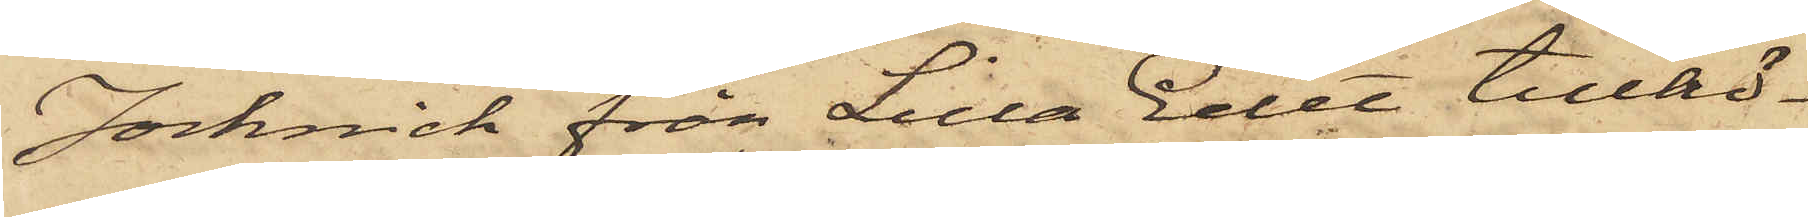Jocknick från Lilla Edet tillhö¬
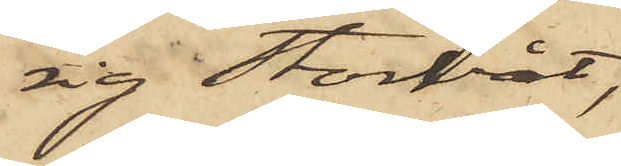rig storbåt,
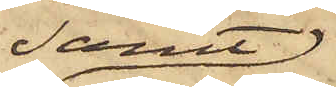samt
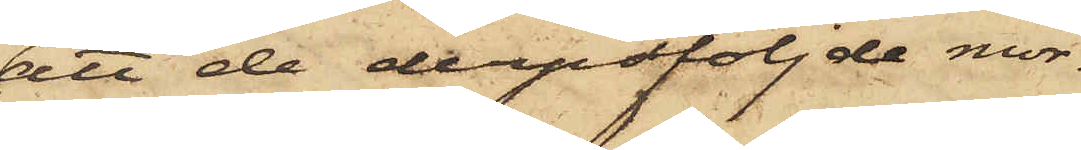att de derpåföljde mor¬
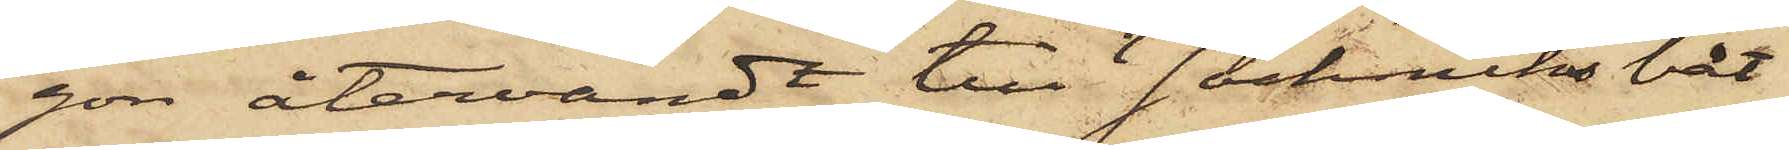gon återvändt till Jocknicks båt
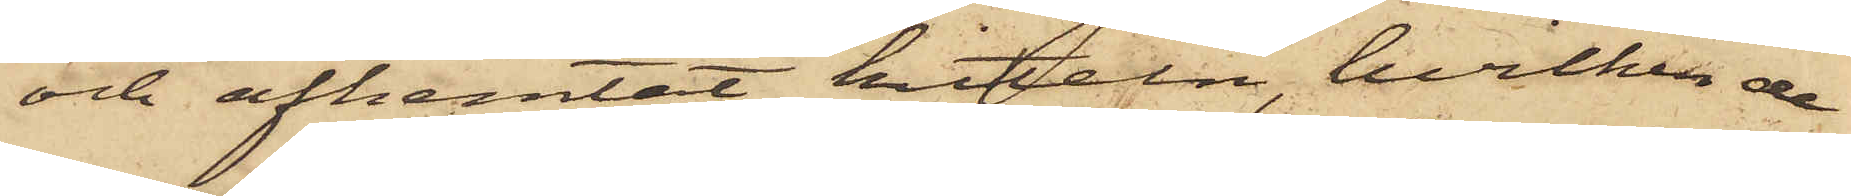och afhemtat kitteln, hvilken de
